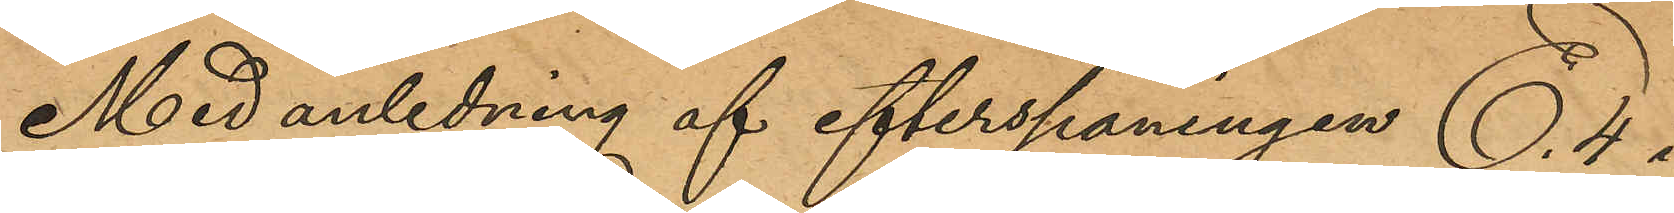Med anledning af efterspaningen E. 4 i
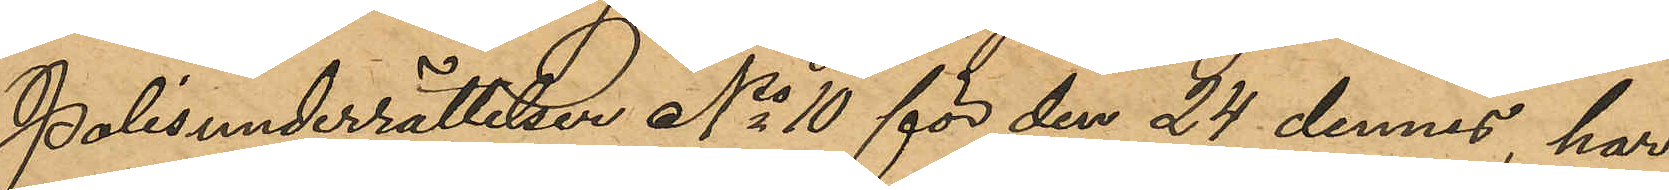                 Polisunderrättelser No 10 för den 24 dennes, har
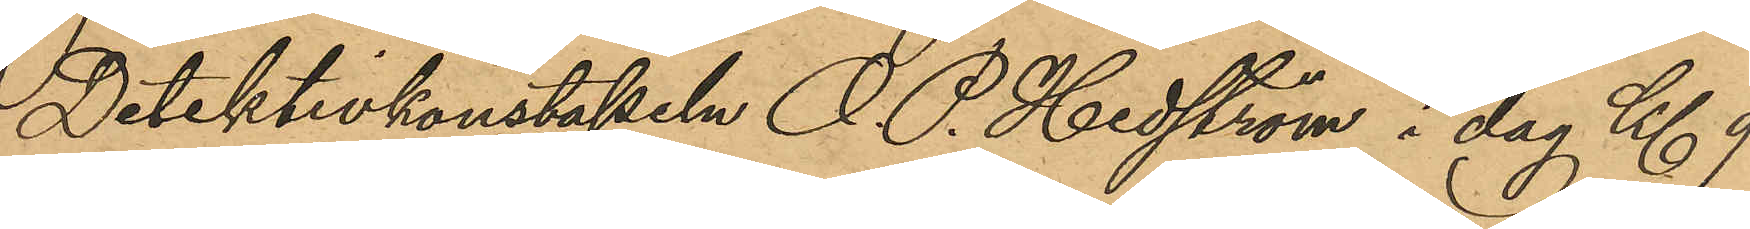Detektivkonstapeln O. P. Hedström i dag Kl 9
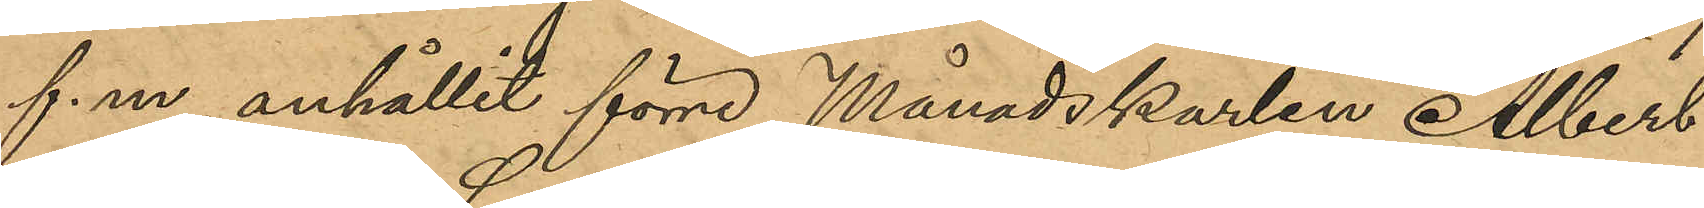f. m anhållit förre Månadskarlen Albert
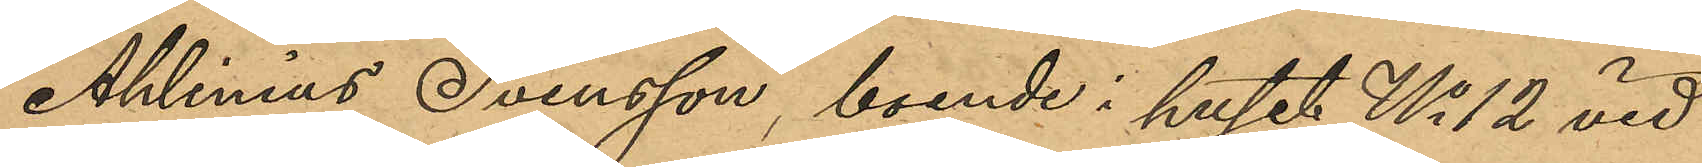Ahlinius Svensson, boende i huset No 12 vid
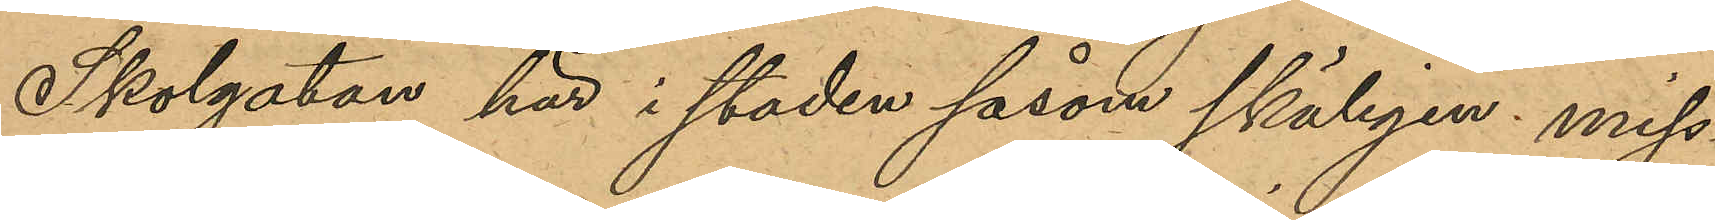Skolgatan här i staden såsom skäligen miss¬
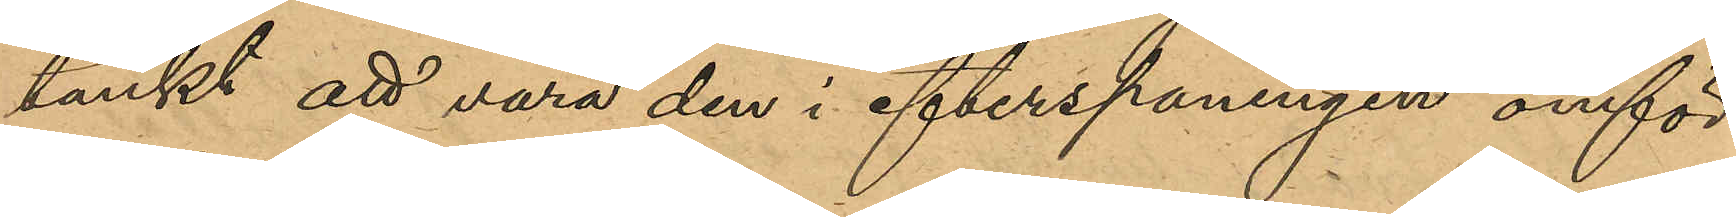tänkt att vara den i efterspaningen omför¬
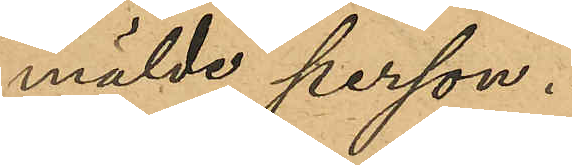mälde person.
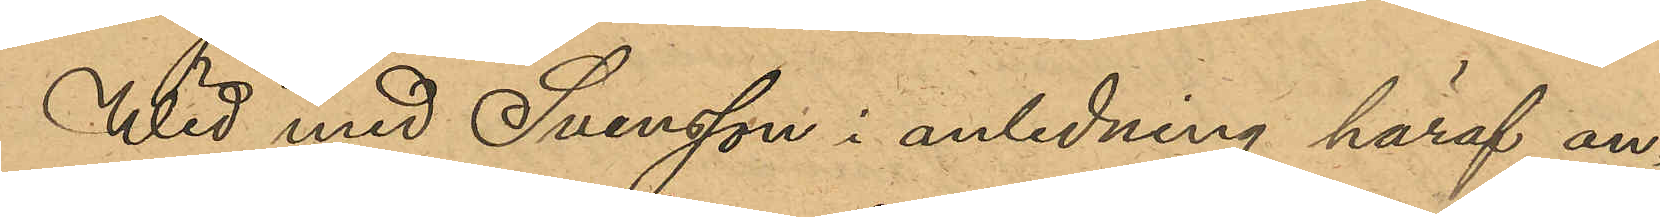Wid med Svensson i anledning häraf an¬
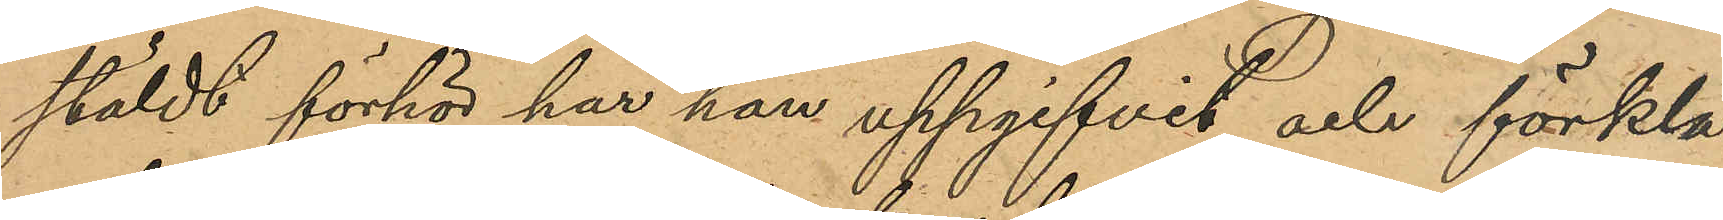stäldt förhör har han uppgifvit och förkla¬
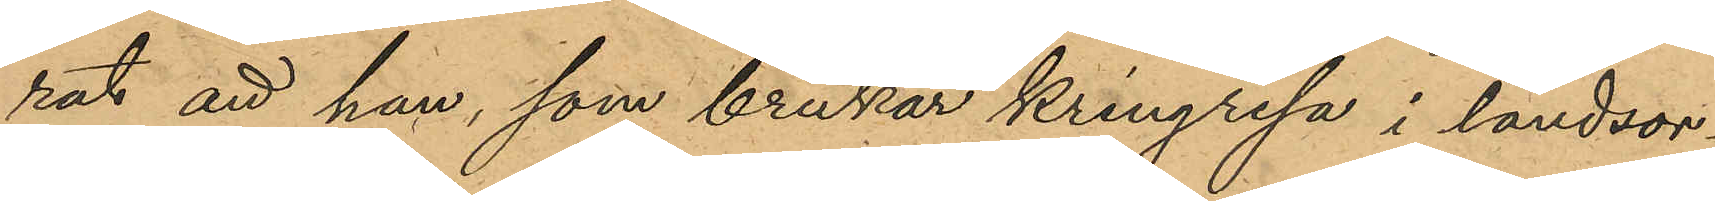rat att han, som brukar kringresa i landsor¬
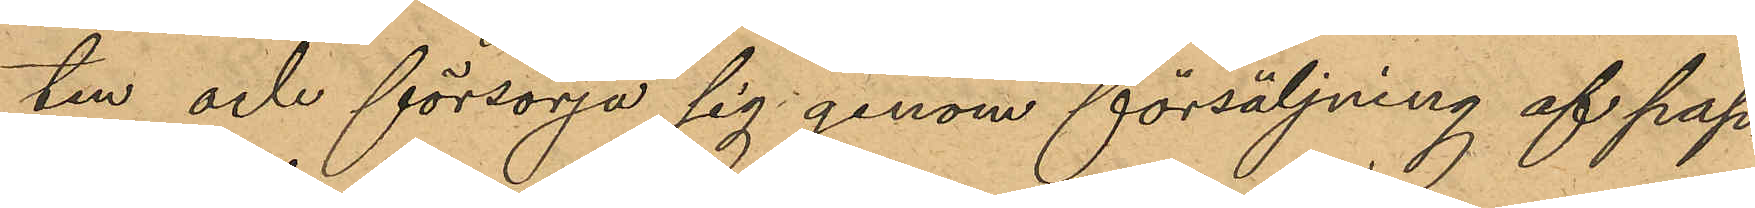ten och försörja sig genom försäljning af pap¬
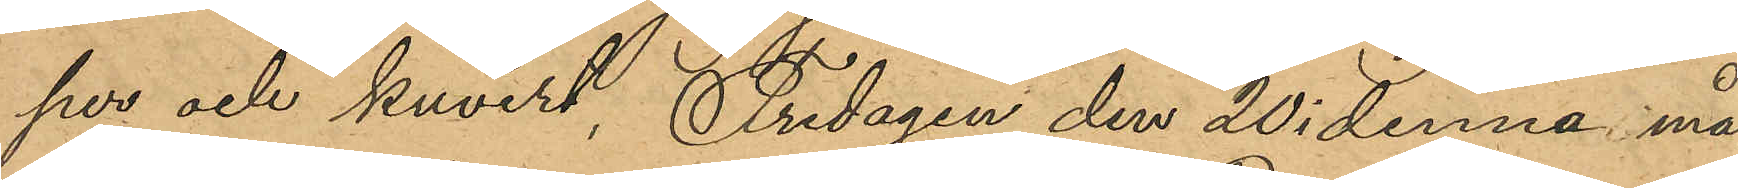per och kuvert, Fredagen den 20 i denna må¬
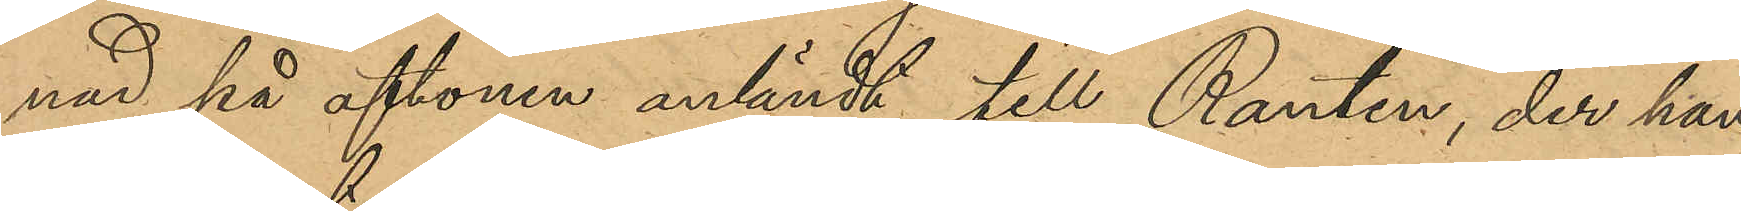nad på aftonen anländt till Ranten, der han
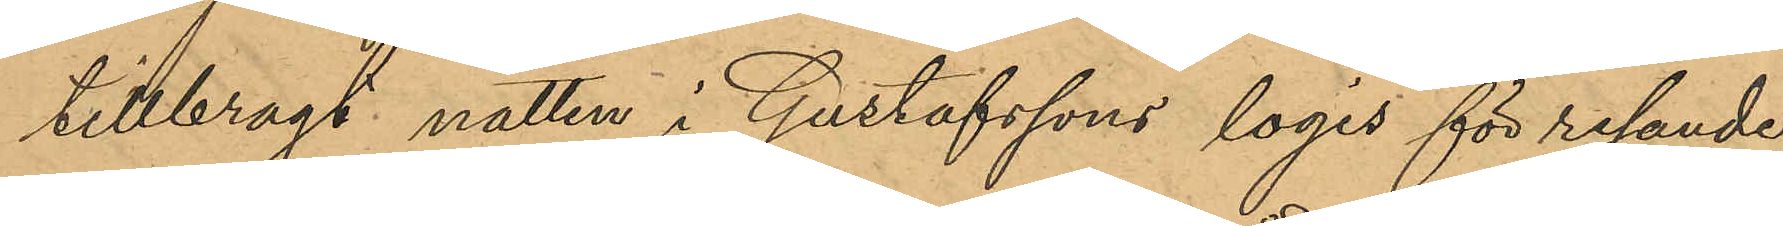tillbragt natten i Gustafssons logis för resande;
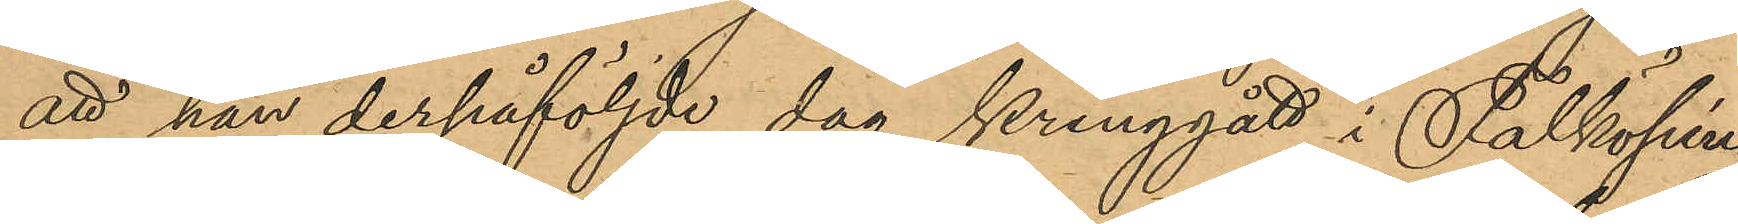att han derpåföljde dag kringgått i Falköping
